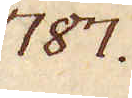787.
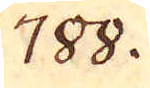788.
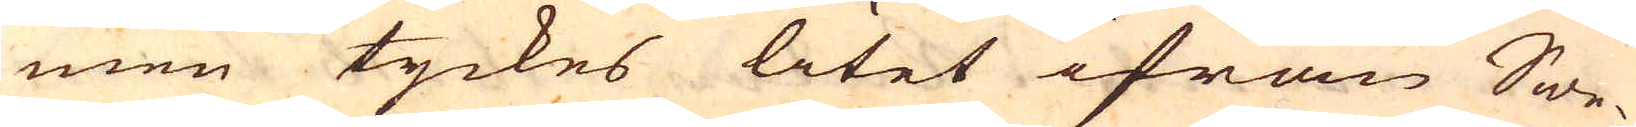men tyckes litet ifrån Swe-
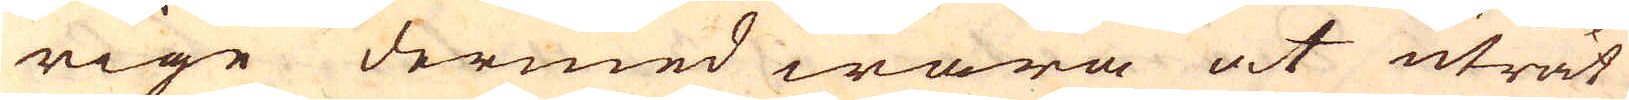rige dermed wara at uträt-
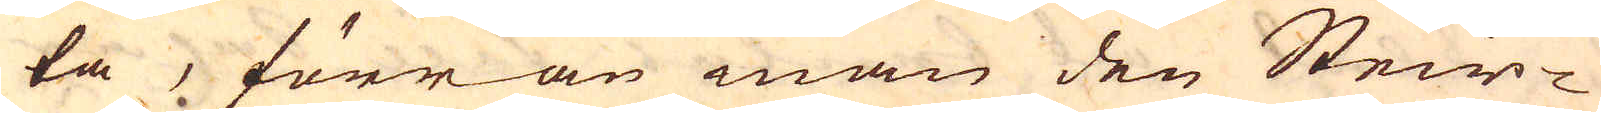ta, förrän man den Steir-
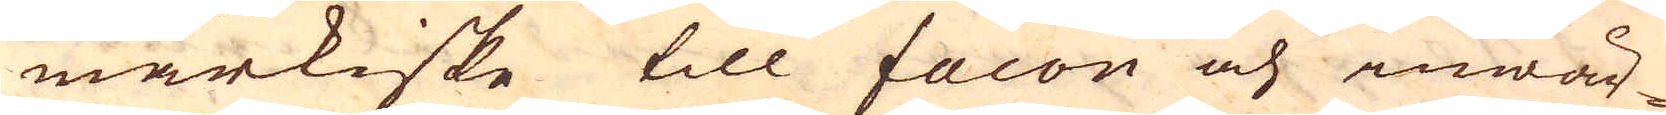markiske till facon och inwär-
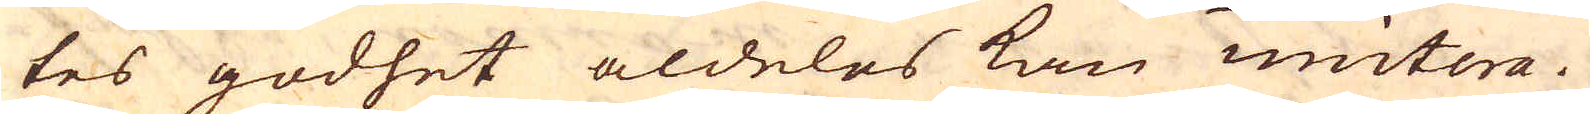tes godhet aldeles kan imitera.
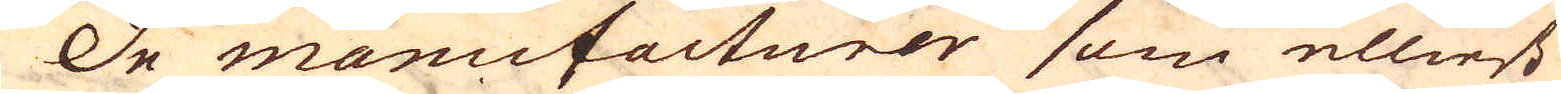De manufacturer som elliest
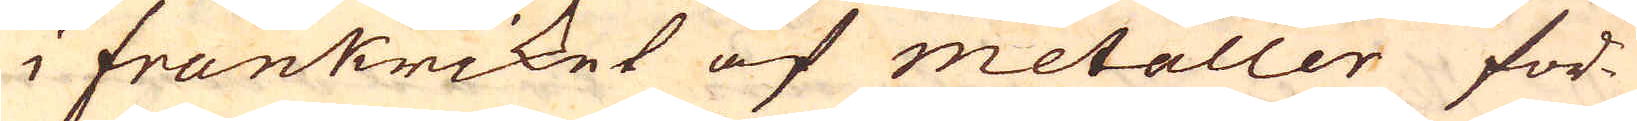i Frankriket af metaller för-
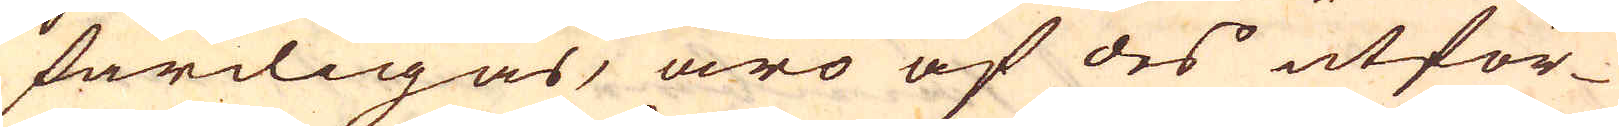färdigas, äro af des utför-
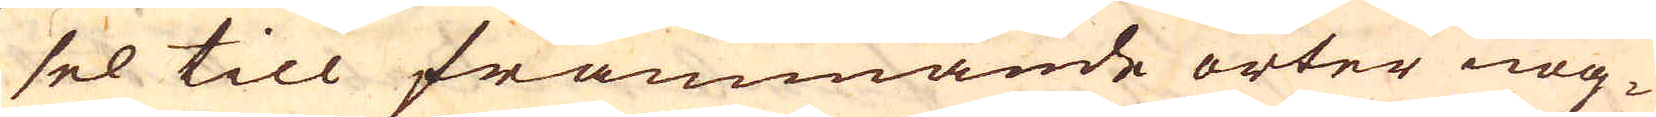sel till främmande orter nog-
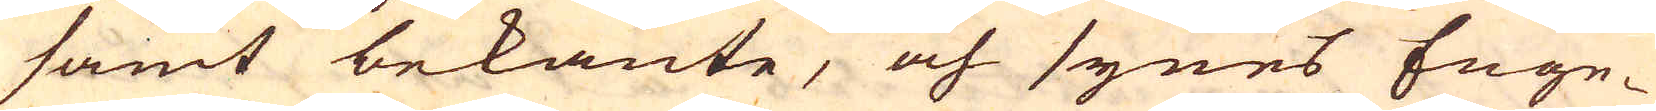samt bekante, och synes Enge-
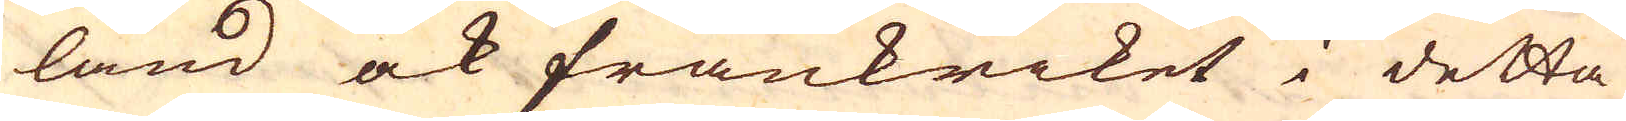land ock Frankriket i detta
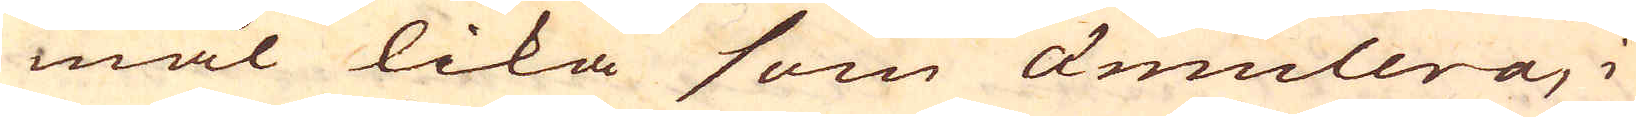mål lika som ämulera, i
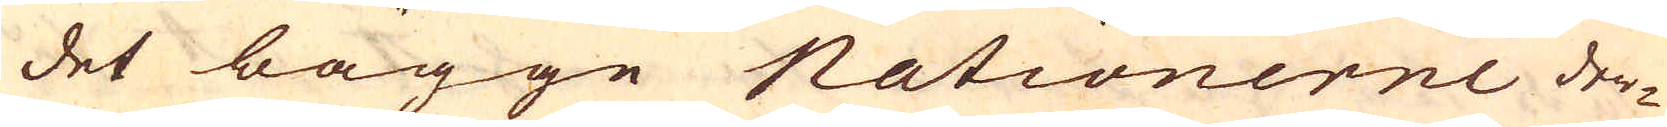det bägge Nationerne der-
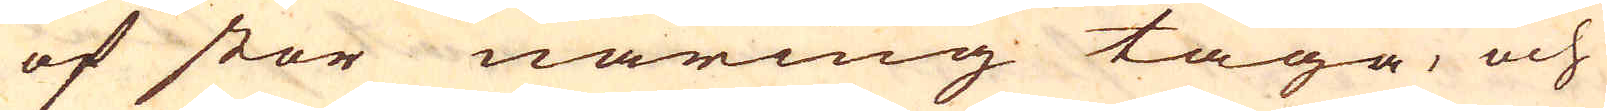af stor näring taga, och
